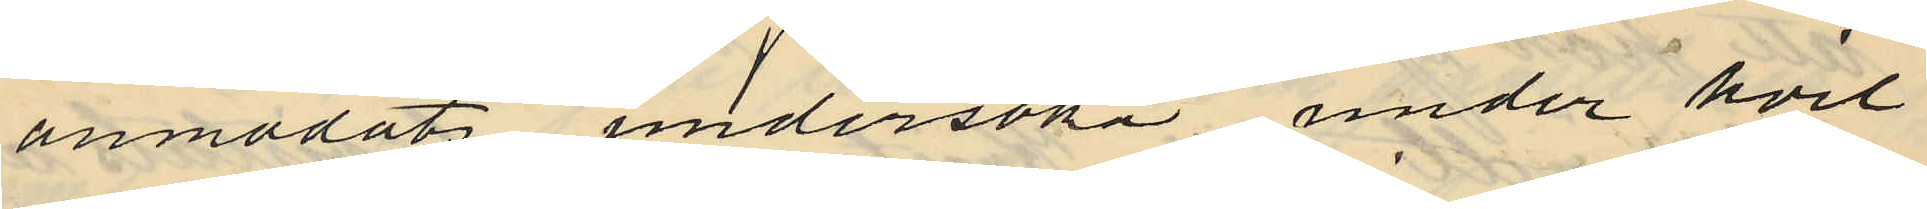anmodat undersöka under hvil
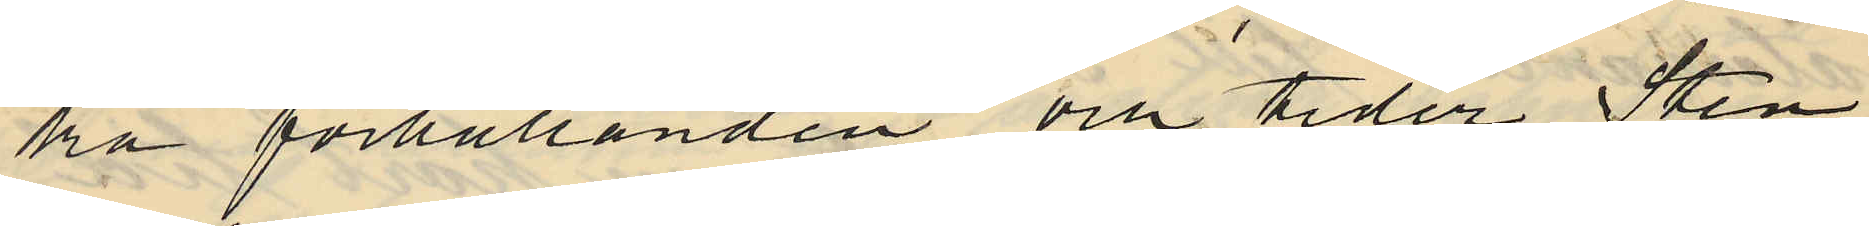ka förhållanden och tider Sten
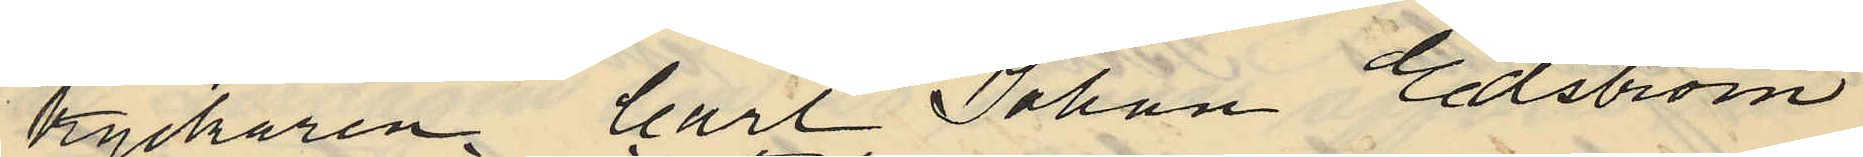tryckaren Carl Johan Edström
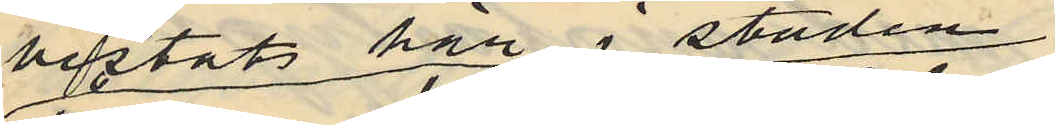vistats här i staden
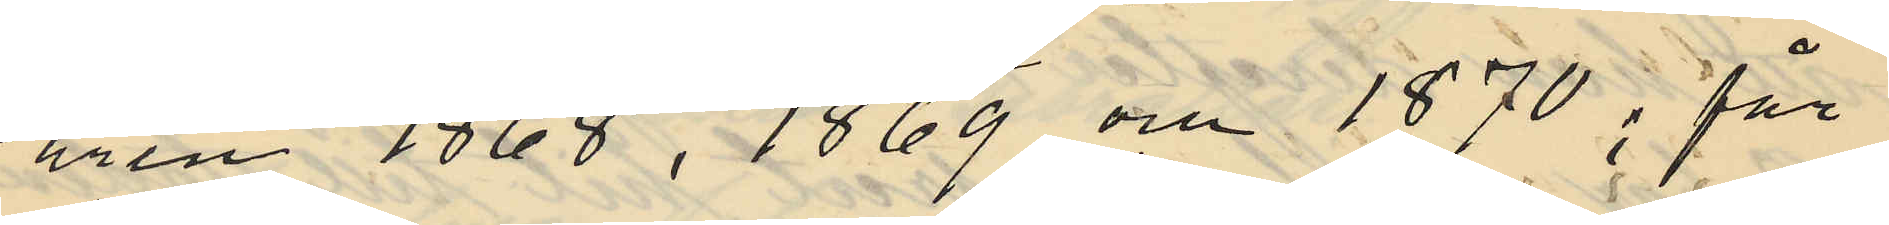åren 1868, 1869 och 1870; får
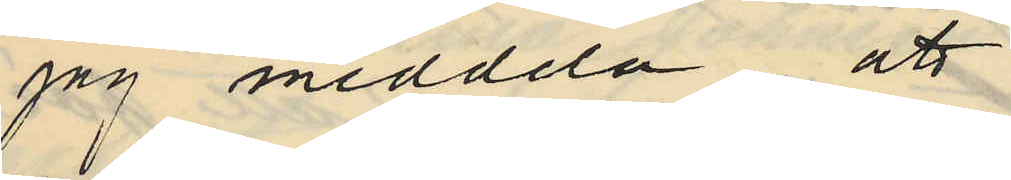jag medddla att
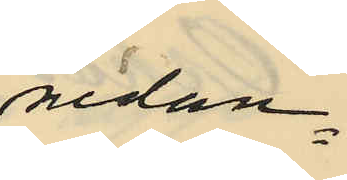nedan¬
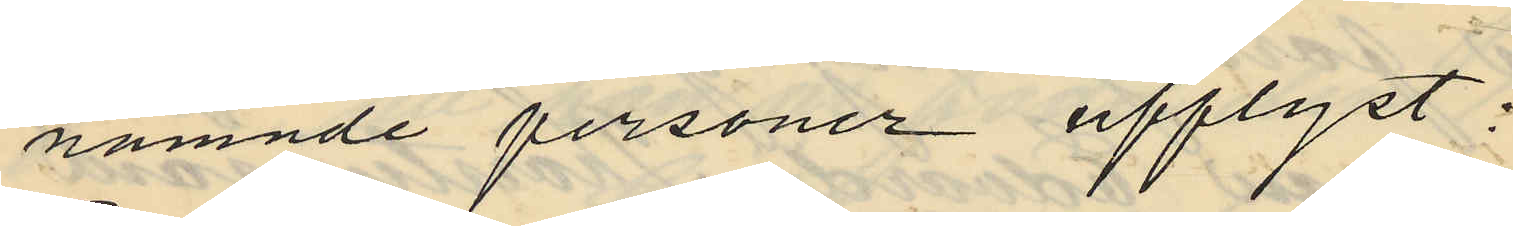nämnde personer upplyst:
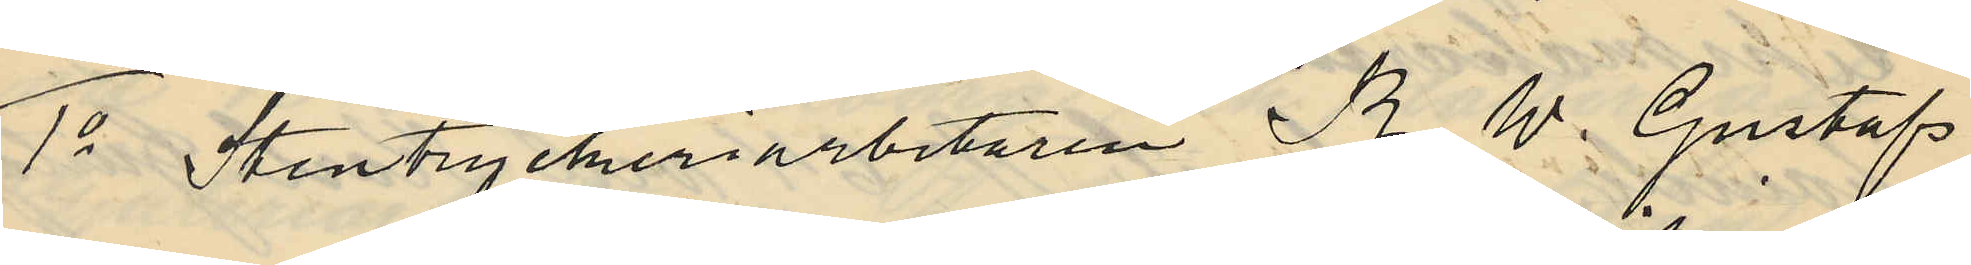1o Stentryckeriarbetaren R. W. Gustafs
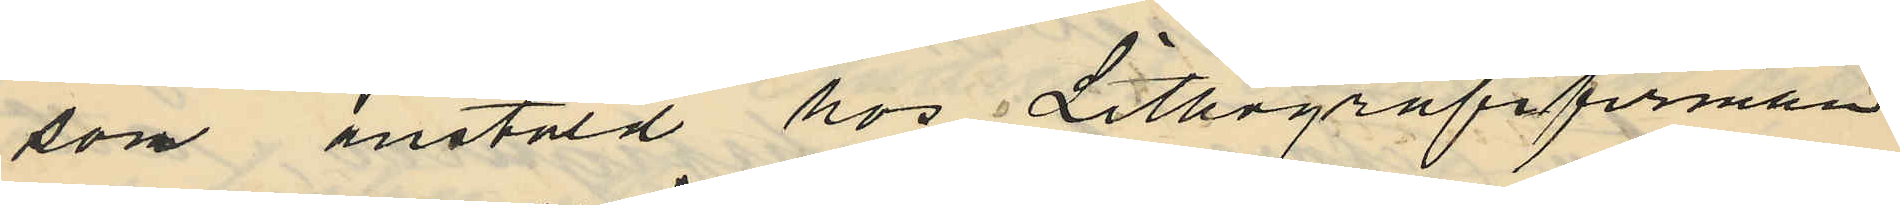son anstäld hos Lithografifirman
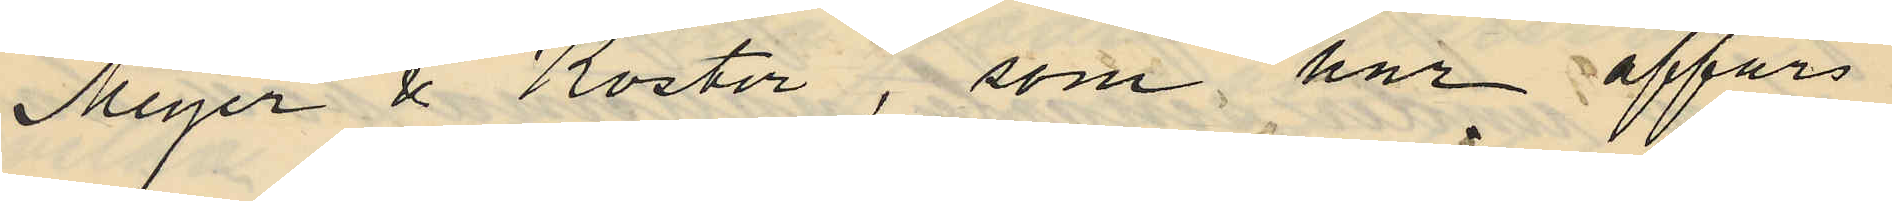Meyer & Köster, som har affärs¬
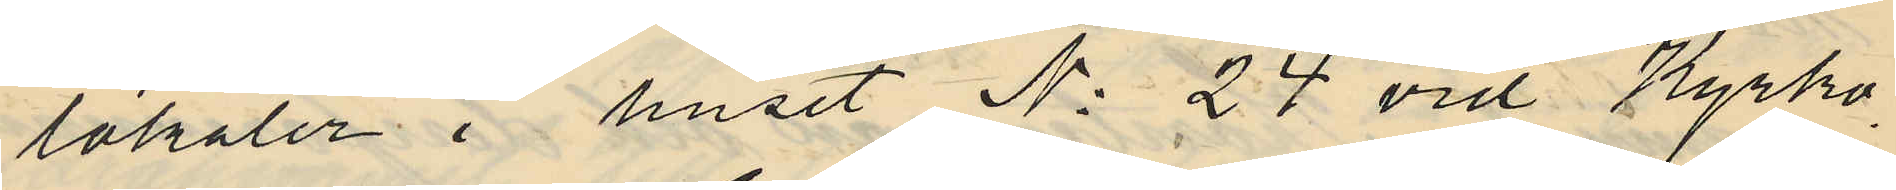lokaler i huset No 24 vid Kyrko¬
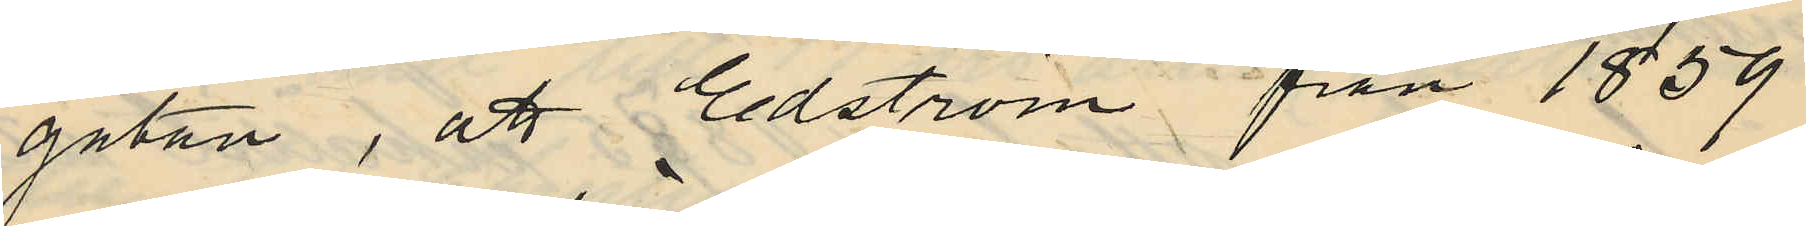gatan, att Edström från 1859
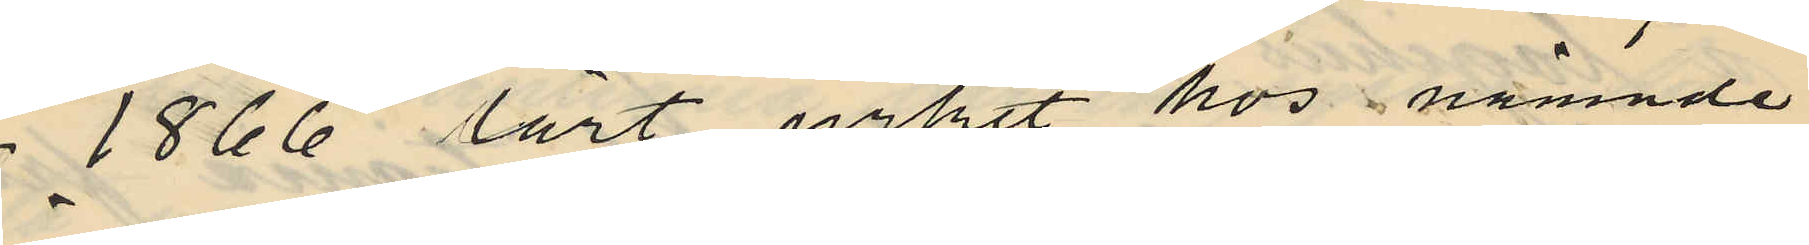- 1866 lärt yrket hos nämnde
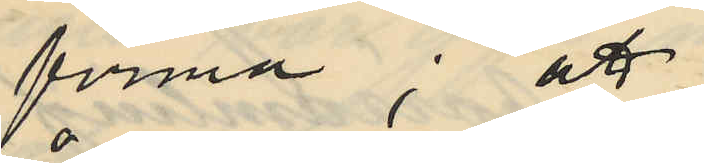firma; att
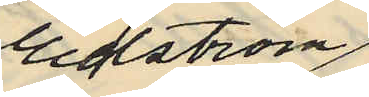Edström
